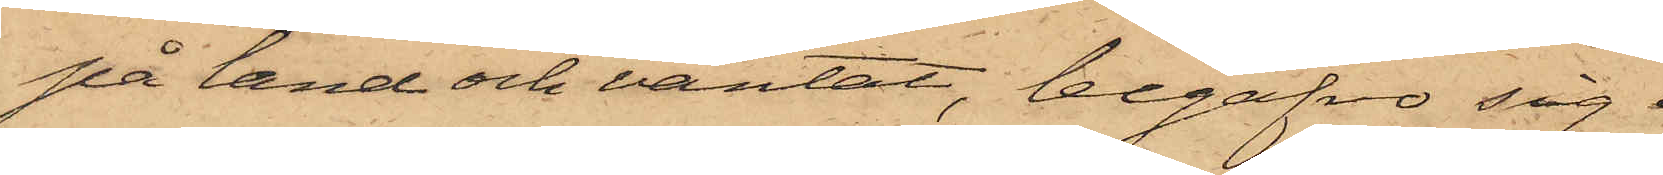på land och väntat, begåfvo sig 
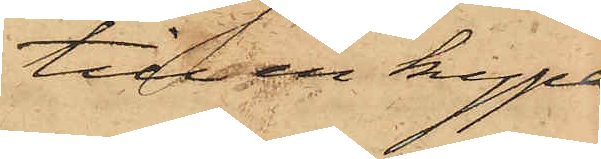till en kypa¬
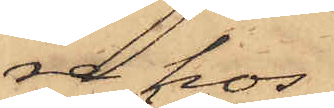re hos
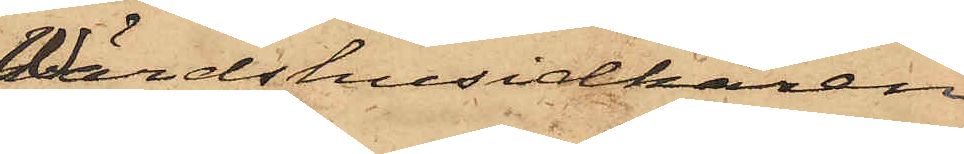Wärdshusidkaren
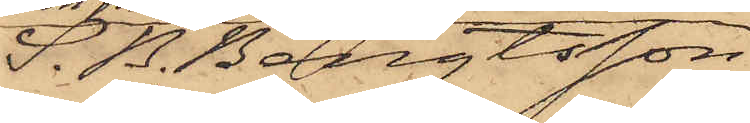S. B. Bengtsson
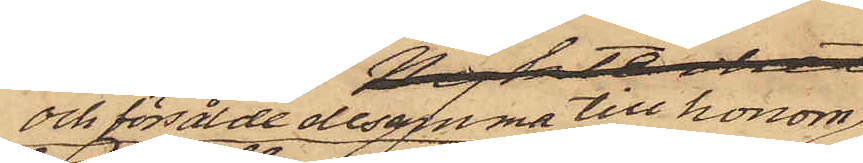och försålde desamma till honom
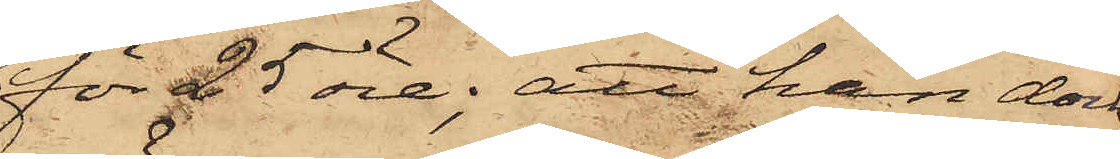för 25 öre; att han dock
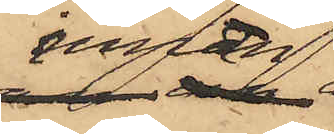innan
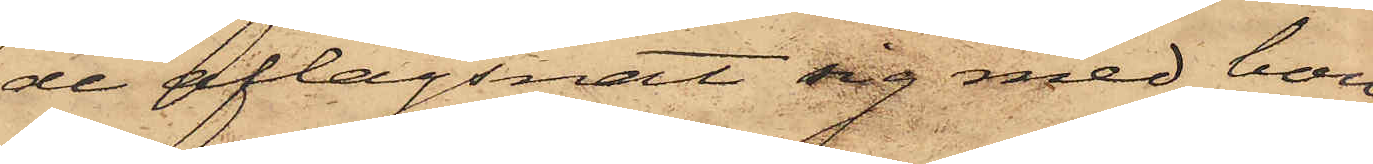de aflägsnat sig med bou¬
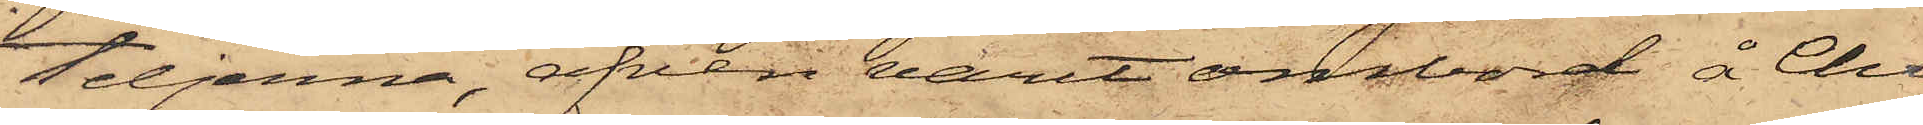teljerna, äfven varit ombord å Chri¬
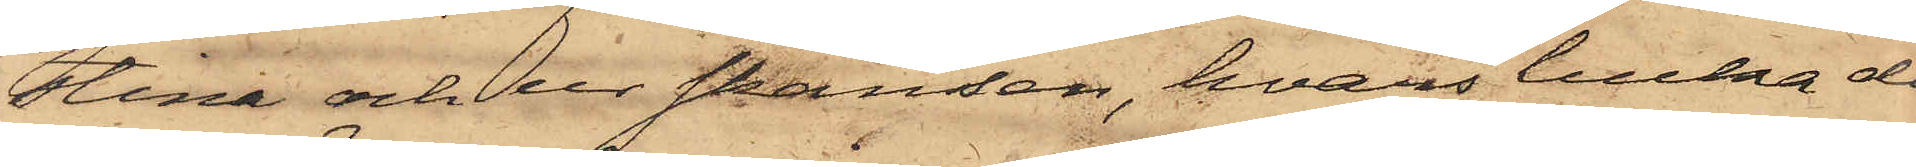stina och ur skansen, hvars lucka da¬
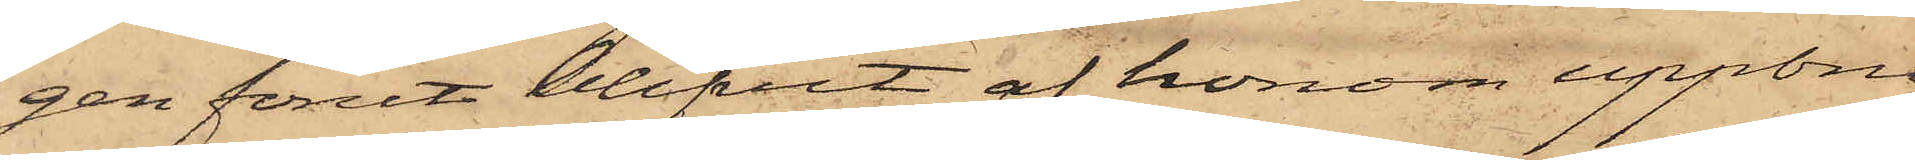gen förut blifvit af honom uppbru¬
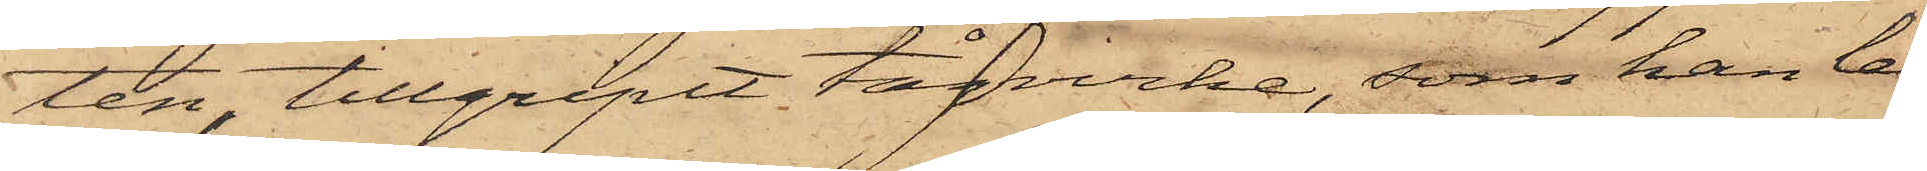ten tillgripit tågvirke, som han lem¬
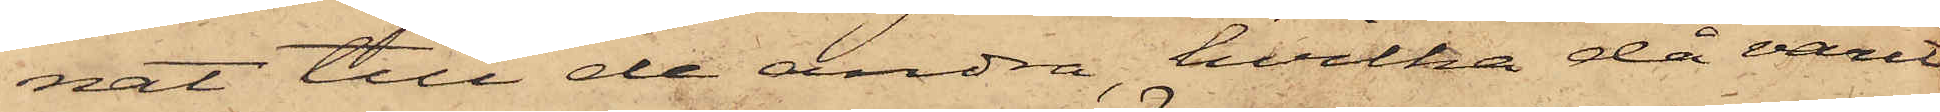nat till de andra, hvilka då varit
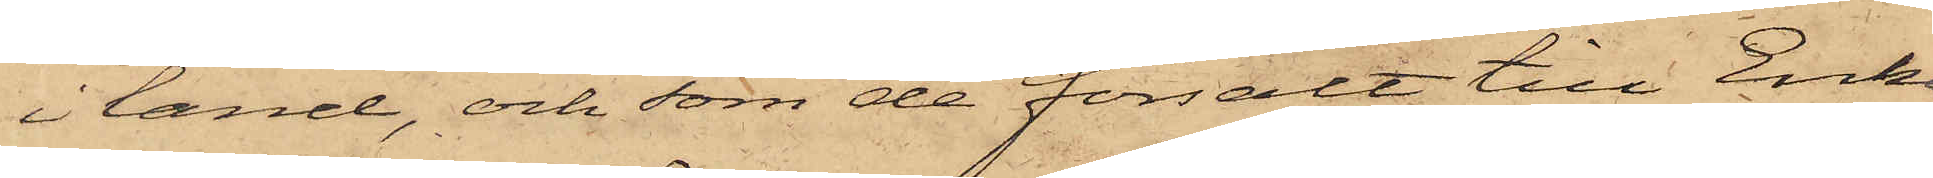i land, och som de försålt till Enkan
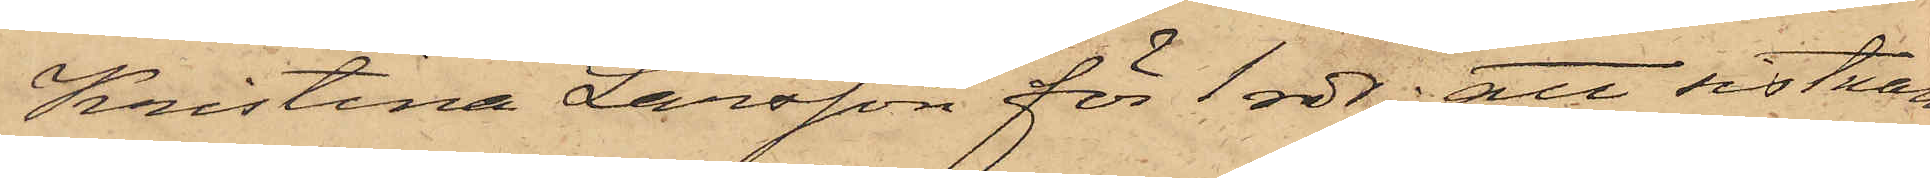Kristina Larsson för 1 rdr; att sistnäm¬
